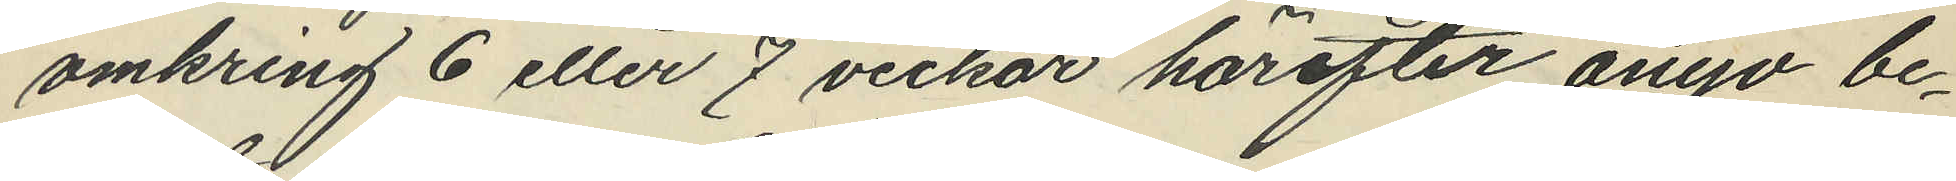omkring 6 eller 7 veckor härefter ånyo be¬
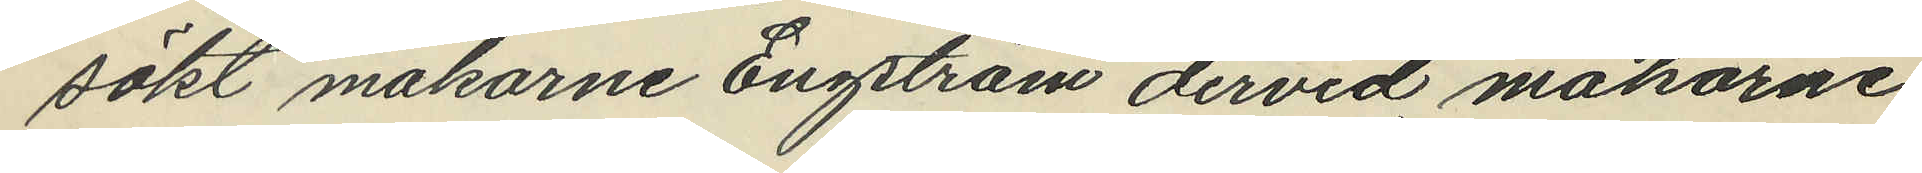sökt makarne Engström dervid makarne
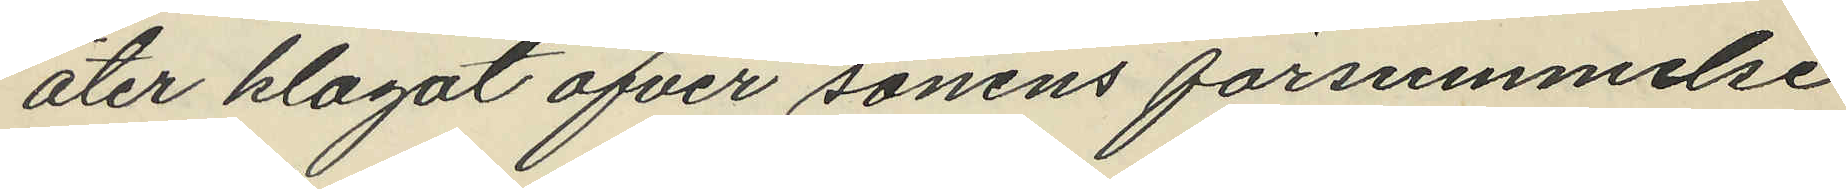åter klagat öfver sonens försummelse
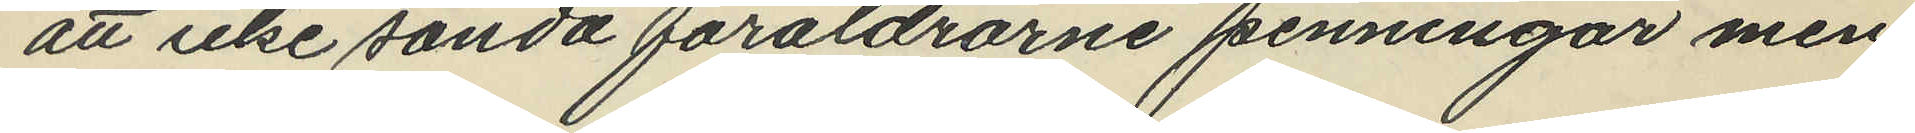att icke sända föräldrarne penningar men
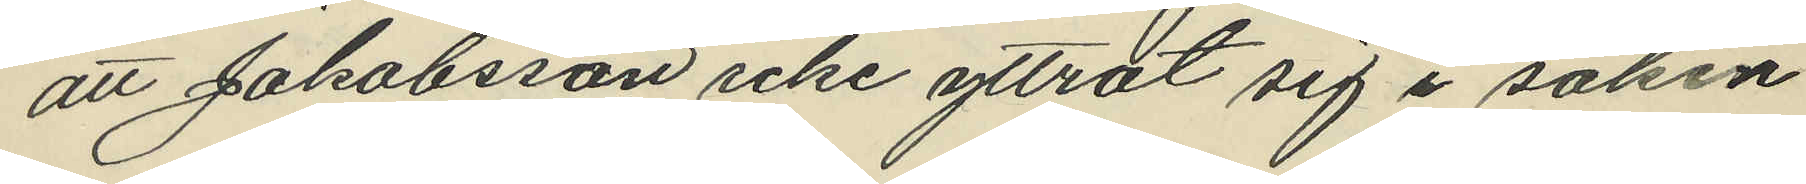att Jakobsson icke yttrat sig i saken.
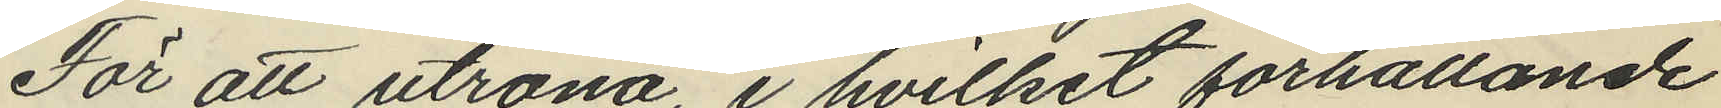För att utröna, i hvilket förhållande
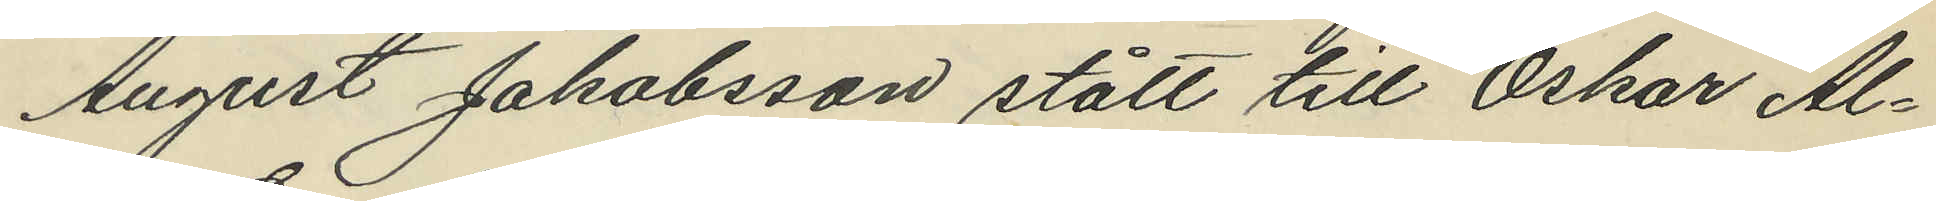August Jakobsson stått till Oskar Al¬
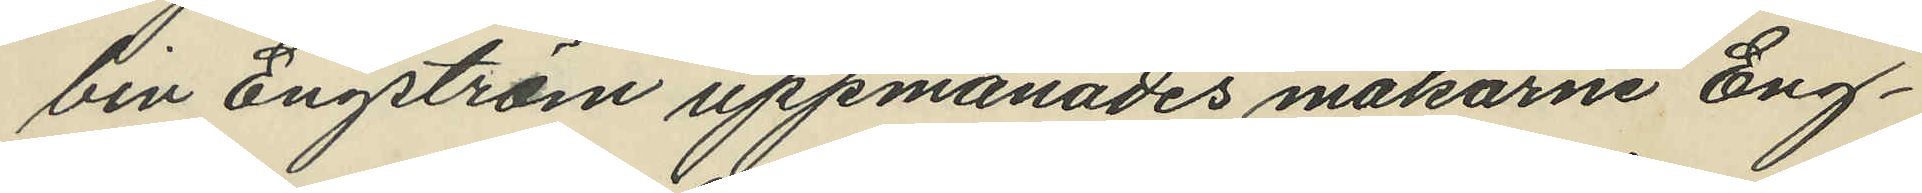bin Engström uppmanades makarne Eng¬
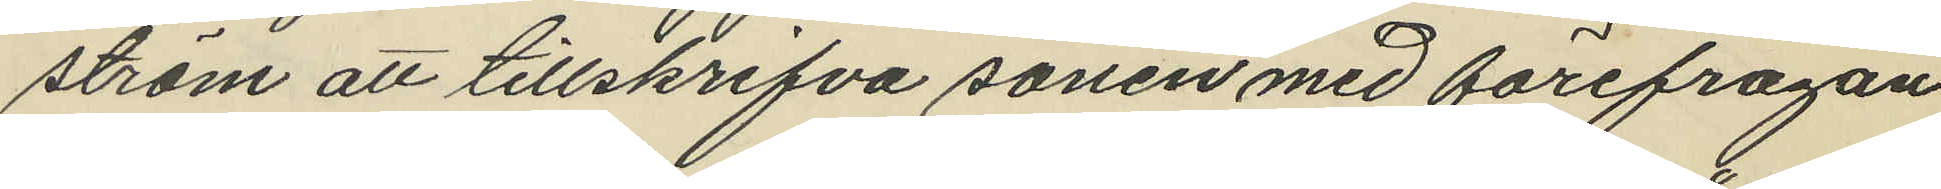ström att tillskrifva sonen med förefrågan
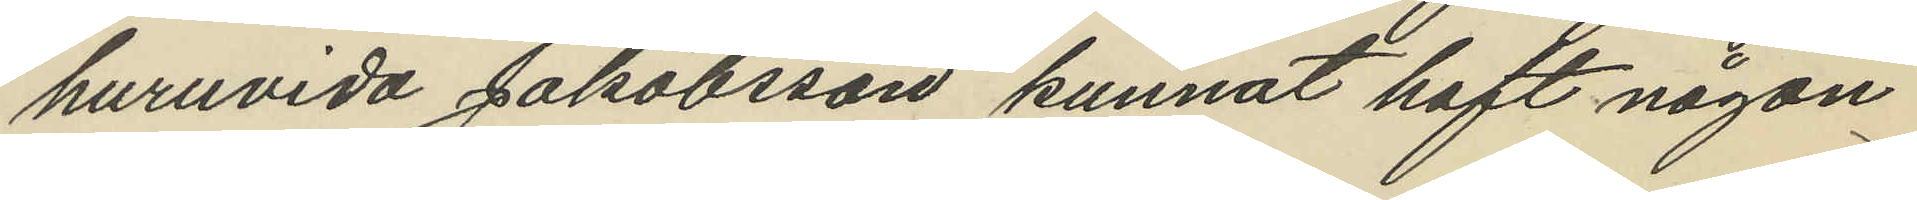huruvida Jakobsson kunnat haft någon
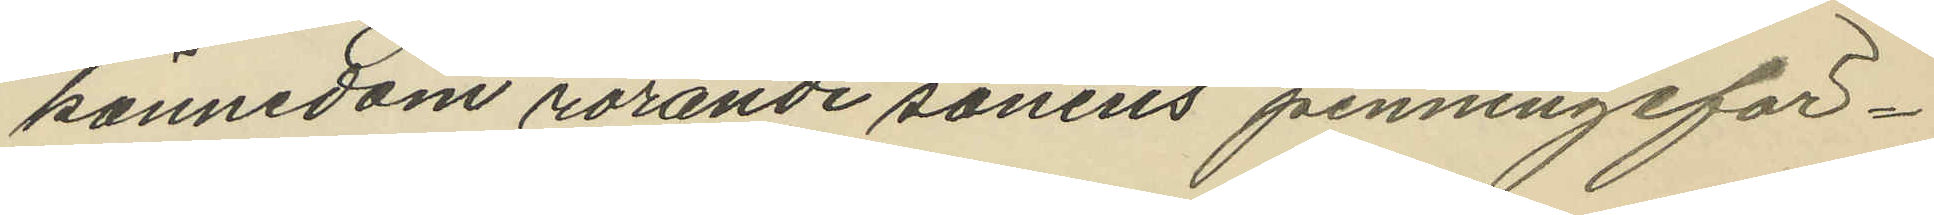kännedom rörande sonens penningeför¬
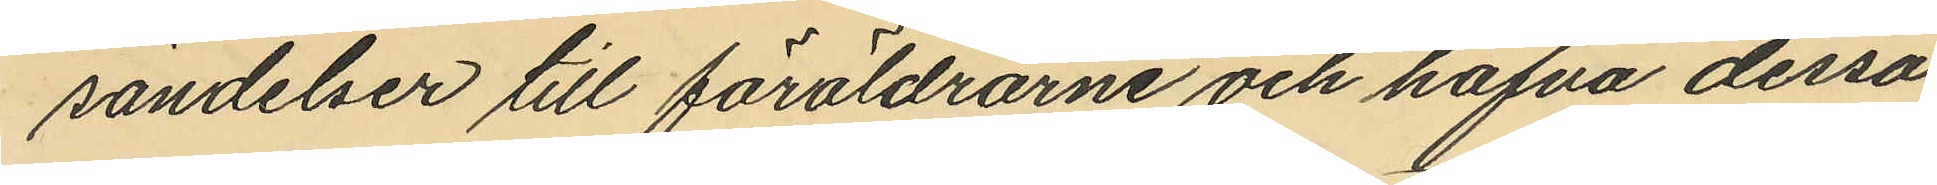sändelser till föräldrarne och hafva dessa
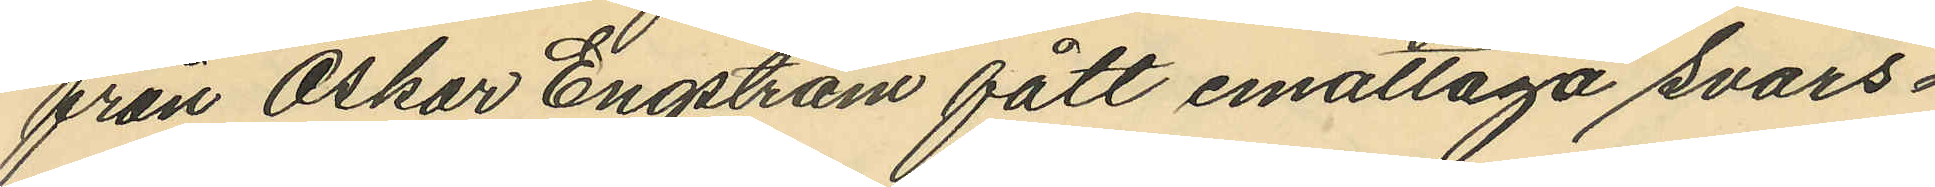från Oskar Engström fått emottaga svars¬
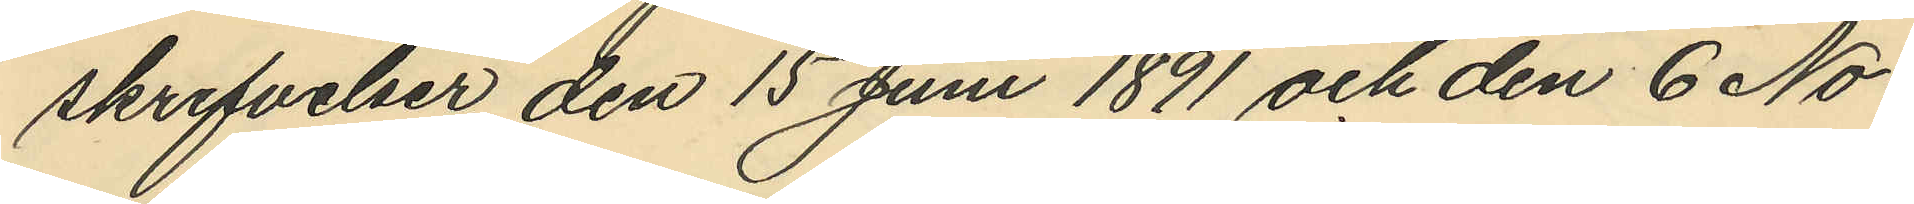skrifvelser den 15 Juni 1891 och den 6 No¬
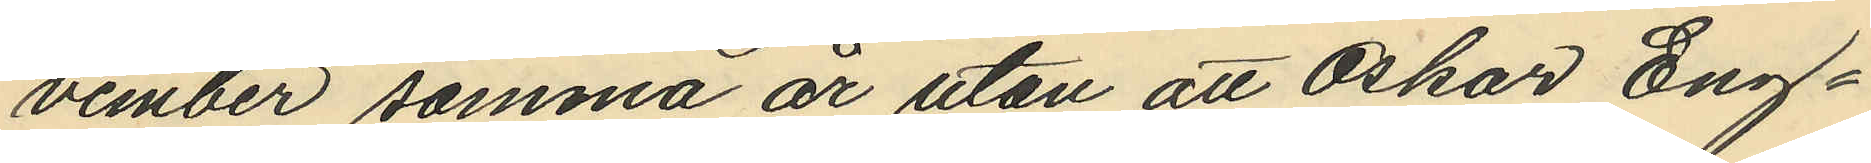vember samma år utan att Oskar Eng¬
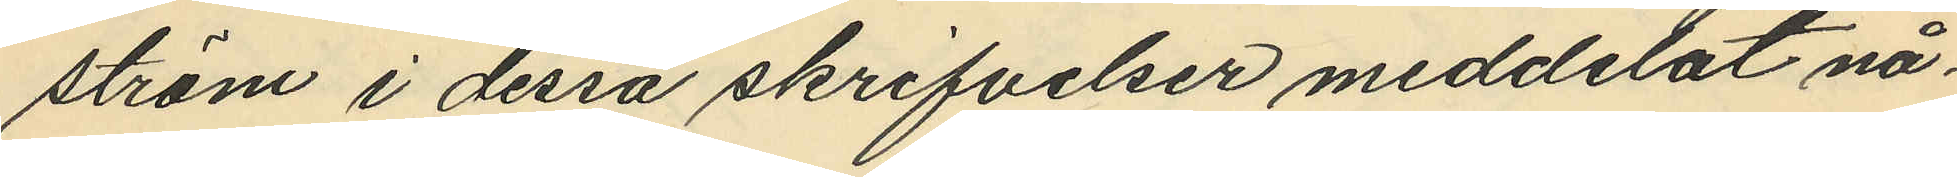ström i dessa skrifvelser meddelat nå¬
